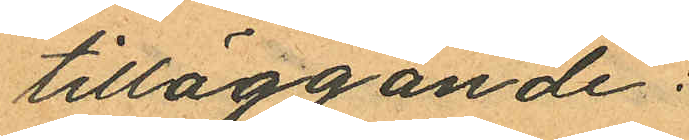tilläggande:
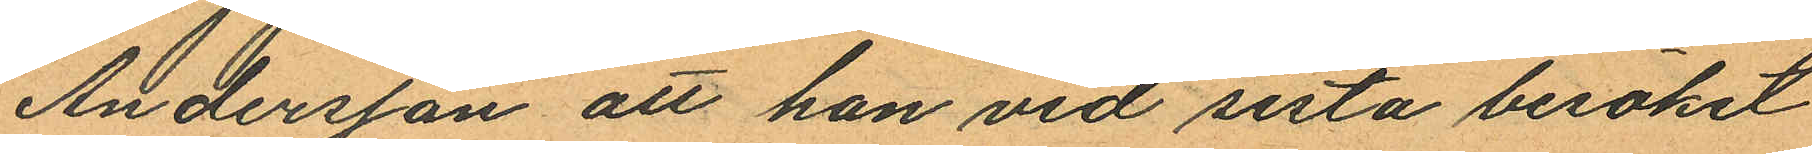Andersson att han vid sista besöket
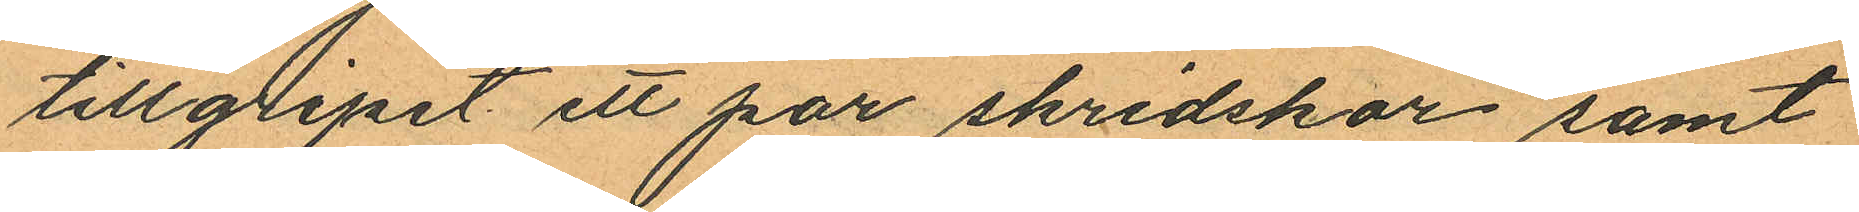tillgripit ett par skridskor samt
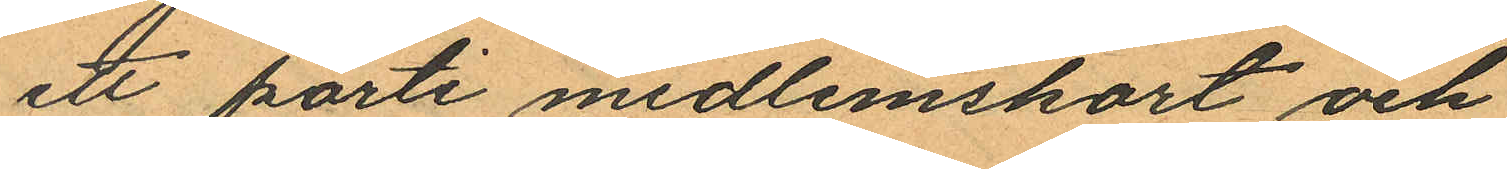ett parti medlemskort och
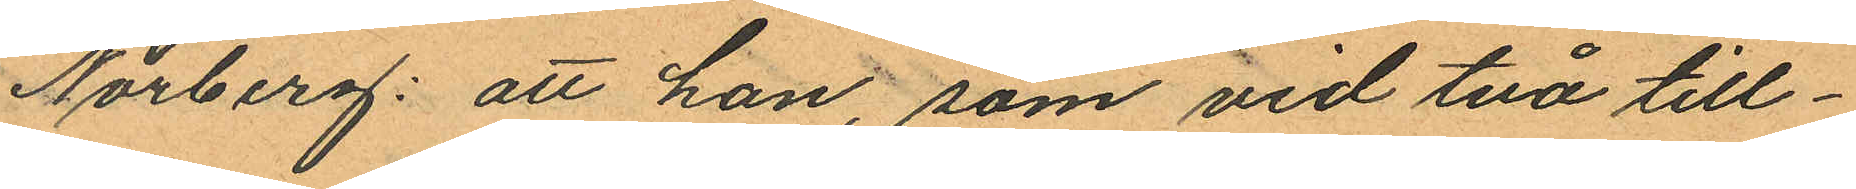Norberg: att han, som vid två till¬
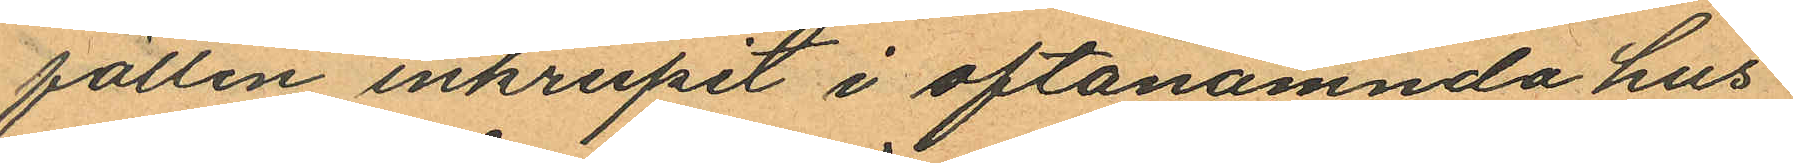fällen inkrupit i oftanämnda hus
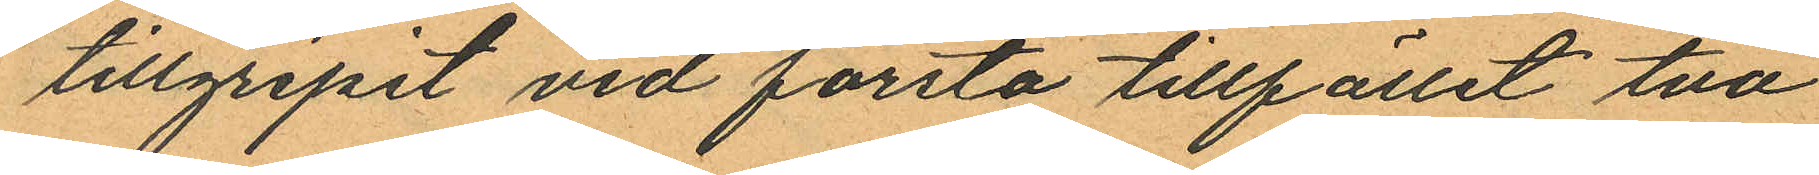tillgripit vid första tillfället två
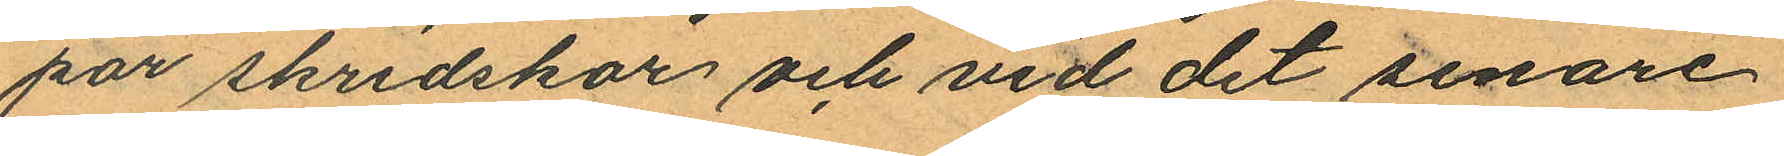par skridskor och vid det senare
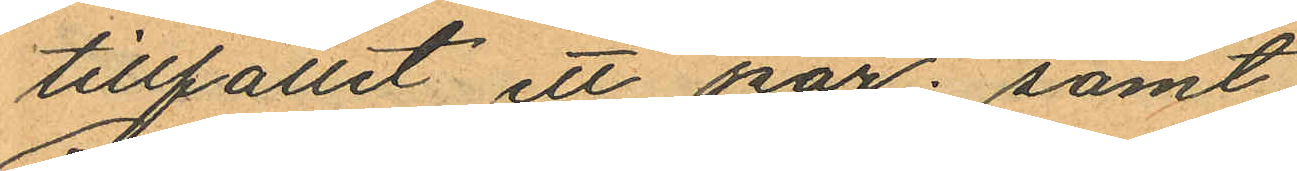tillfället ett par; samt
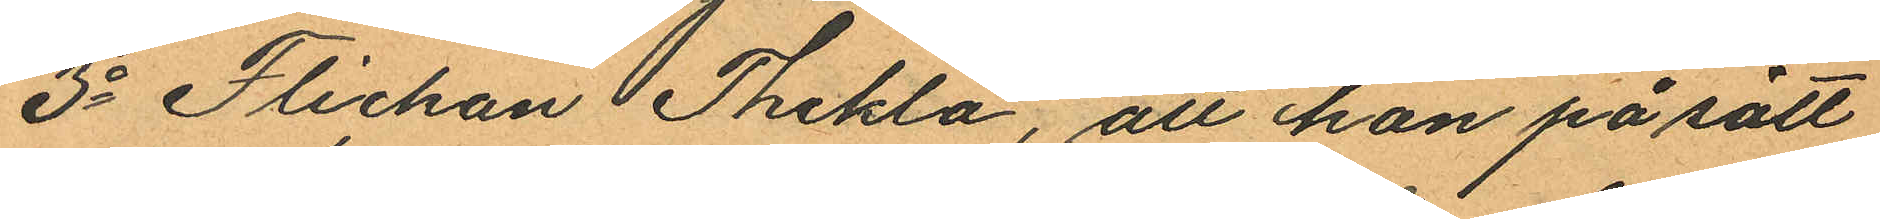3o Flickan Thekla, att hon på sätt
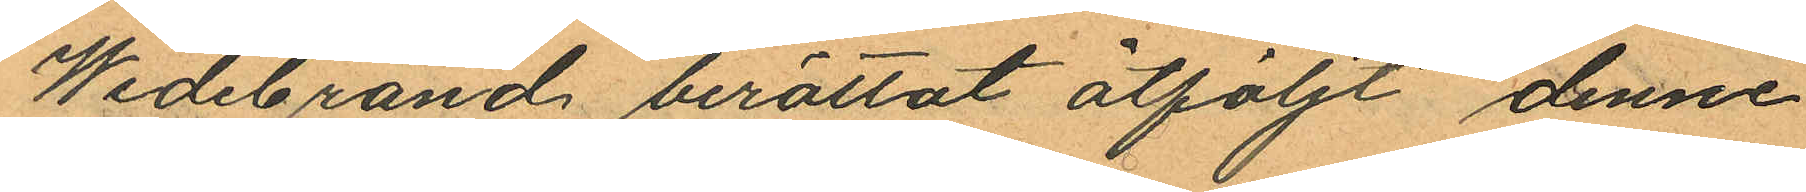Wedebrand berättat åtföljt denne
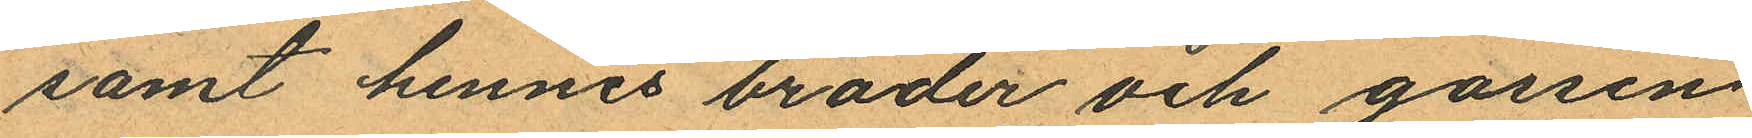samt hennes broder och gossen
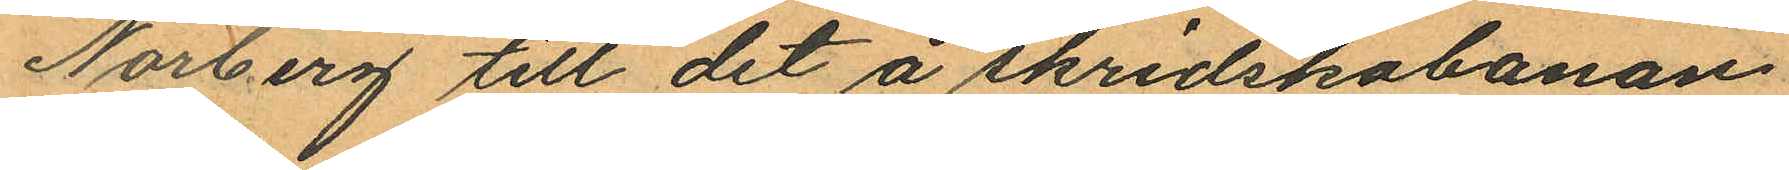Norberg till det å skridskobanan
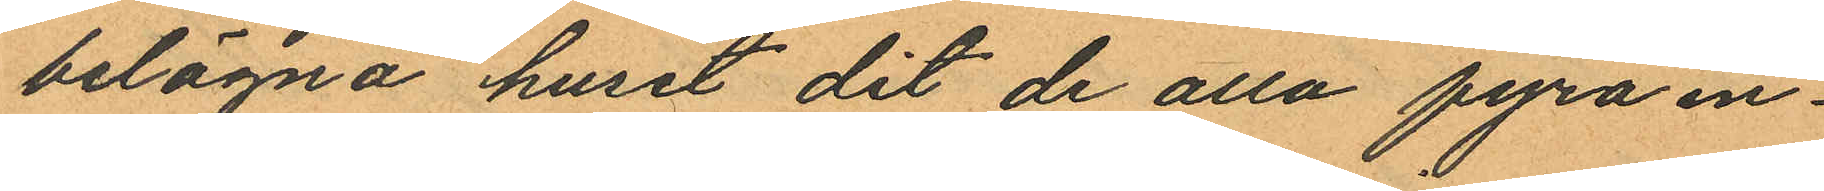belägna huset dit de alla fyra in¬
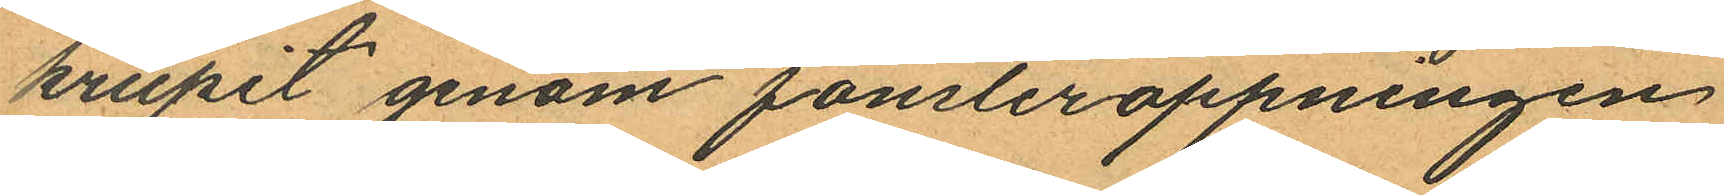krupit genom fönsteröppningen
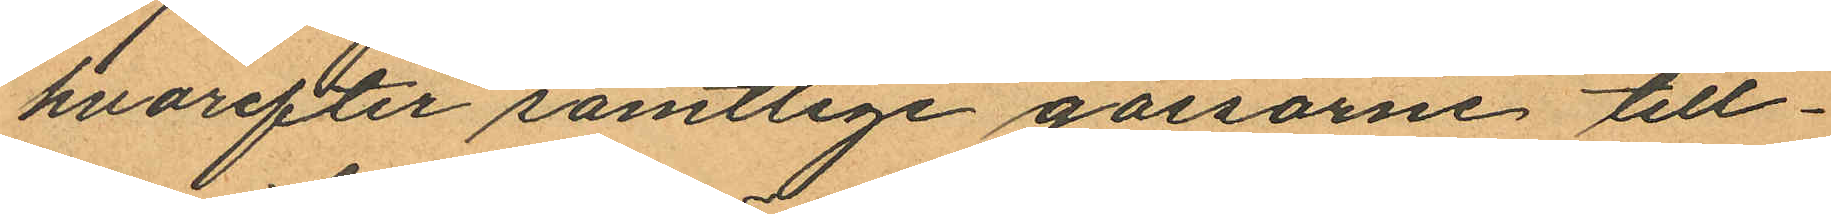hvarefter samtlige gossarne till¬
